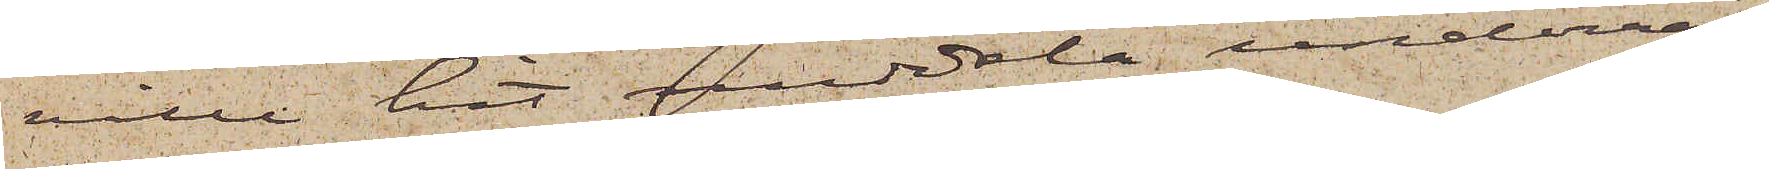ville hit meddela underrät¬
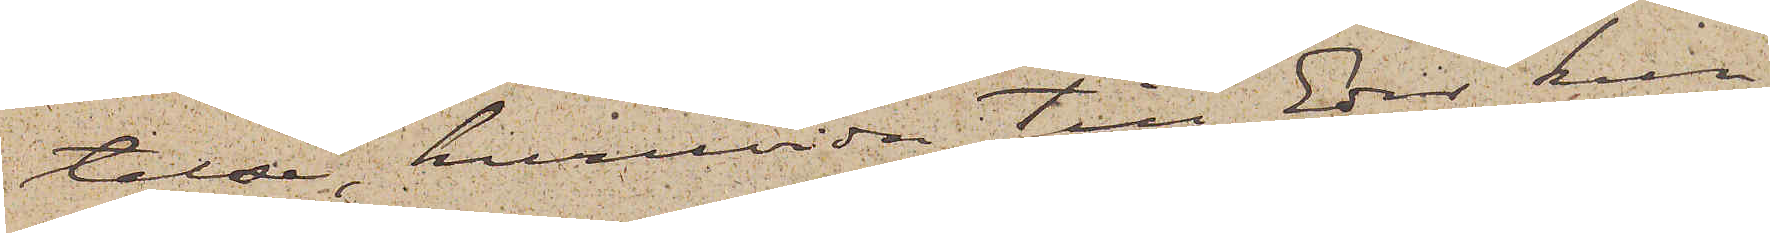telse, huruvida till Eder kun¬
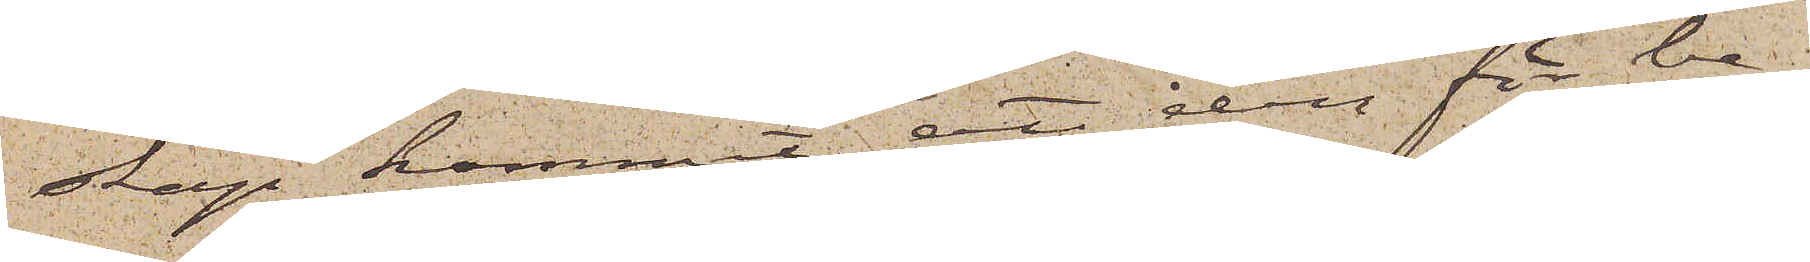skap kommit att den för be¬
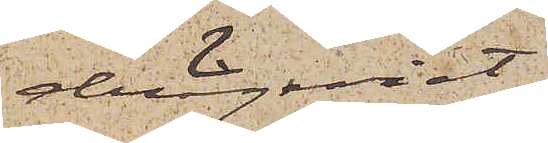drägeriet
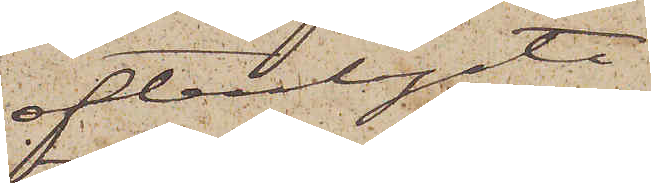efterlyste
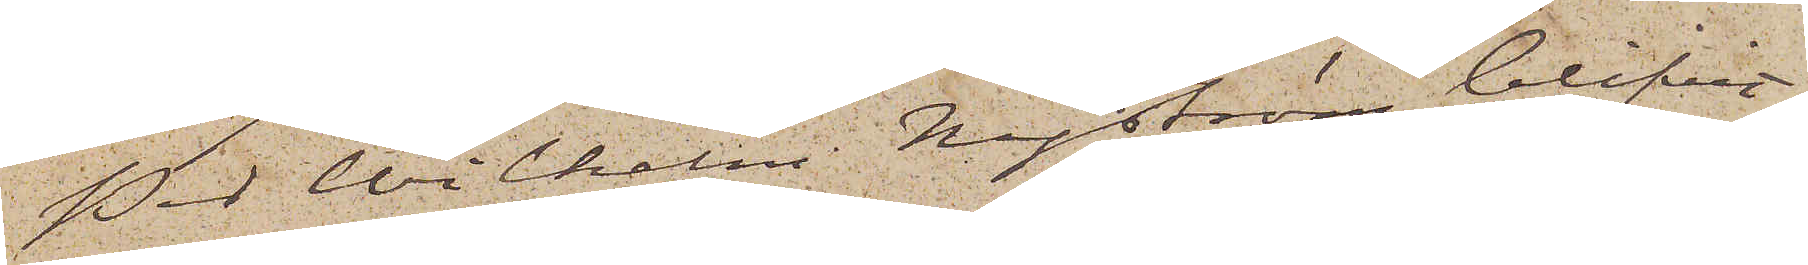Per Wilhelm Nyström blifvit
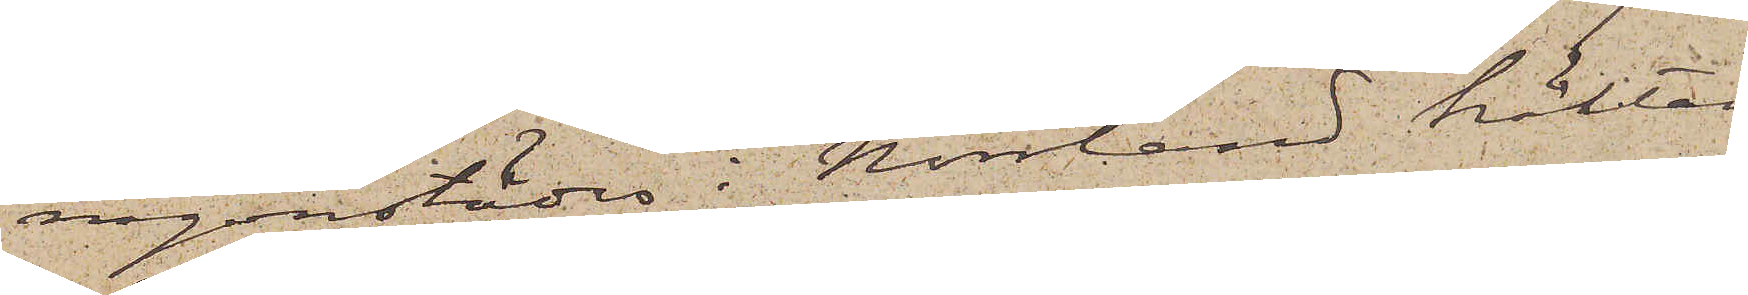någonstädes i Norrland häktad
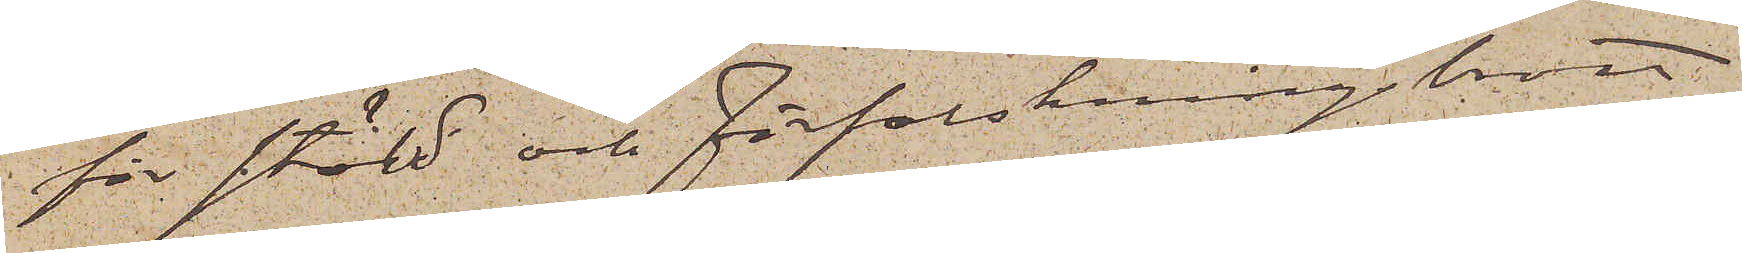för stöld och förfalskningsbrott
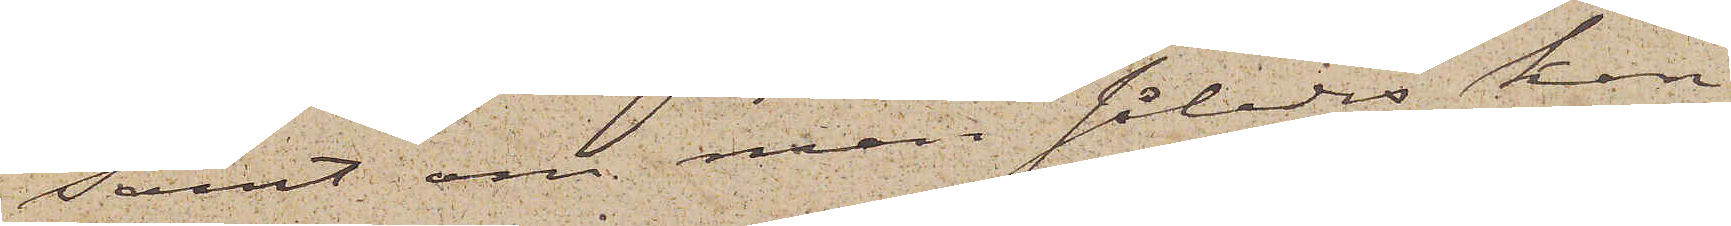samt om man således kan
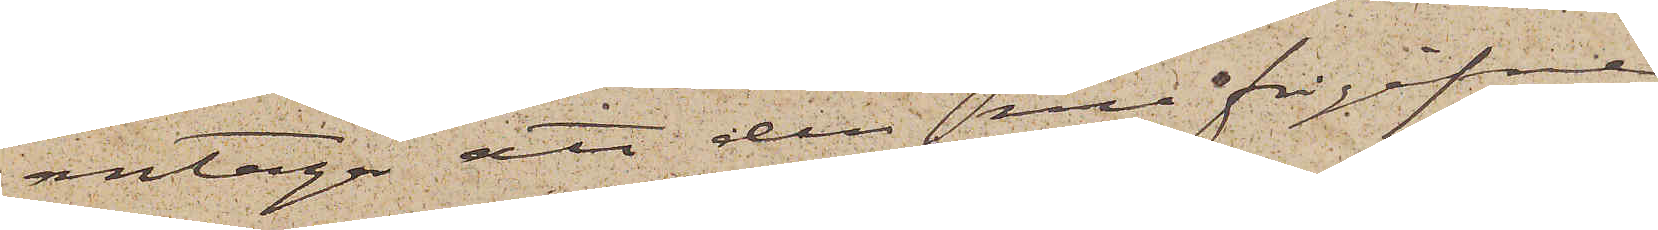antaga att den nu frigifne
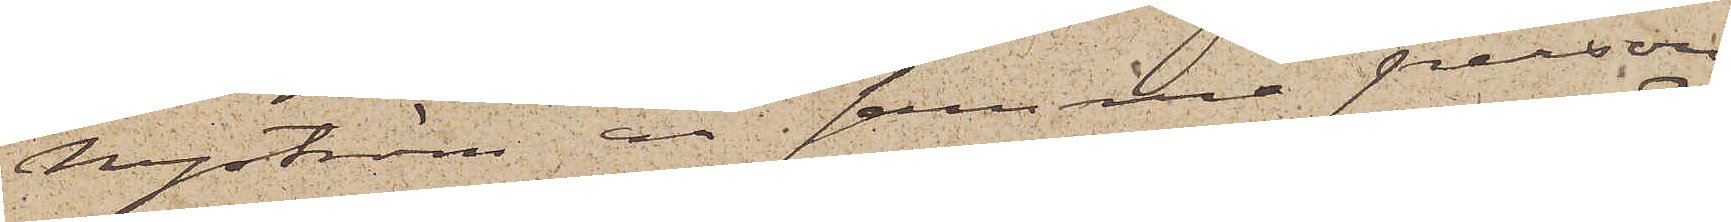Nyström är samma person
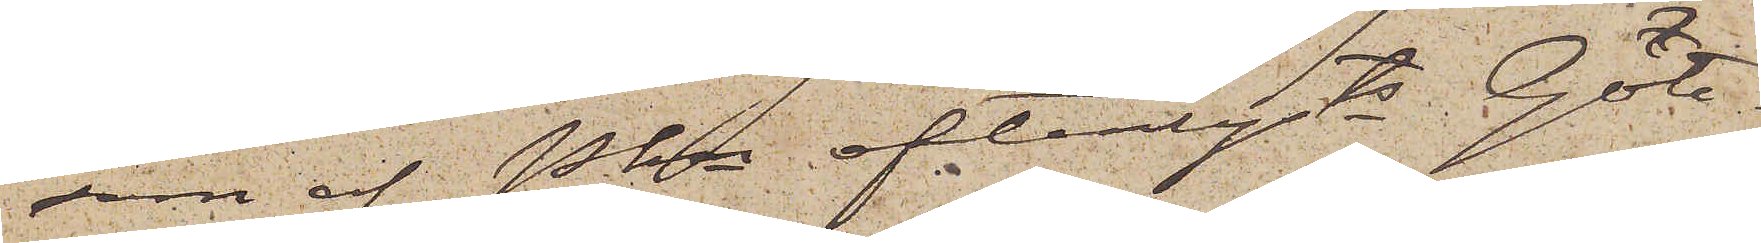som af Pkn efterlysts. Göte¬
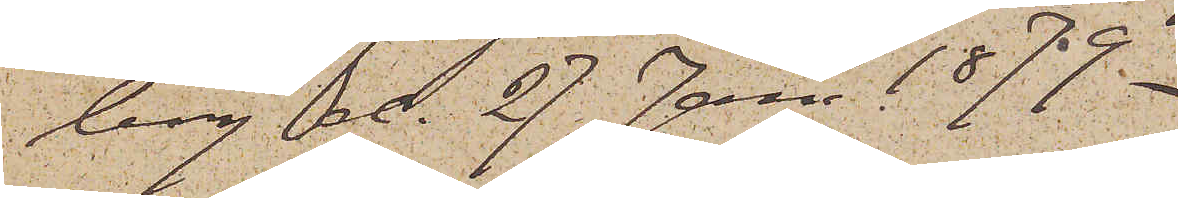borg d. 27 Jan 1879.
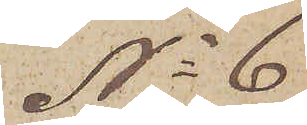No 6
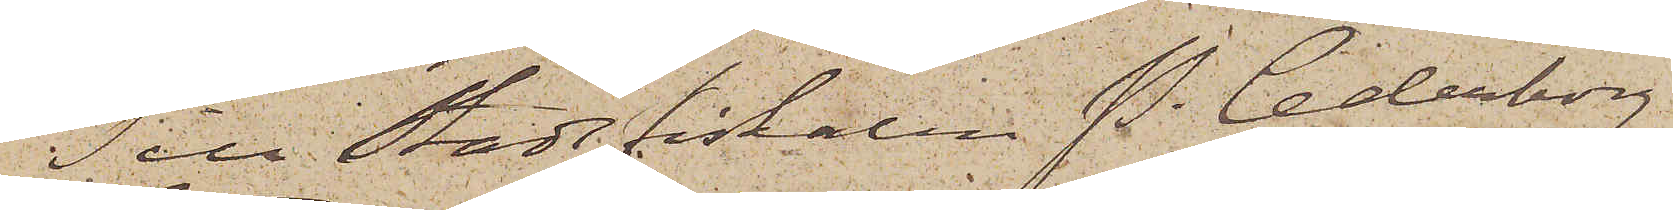Till Stadsfiskalen P. Cederborg
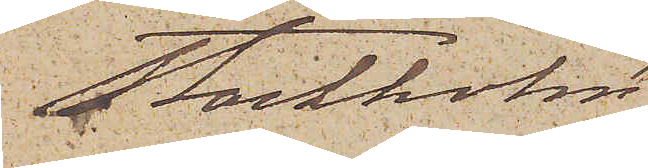Stockholm
